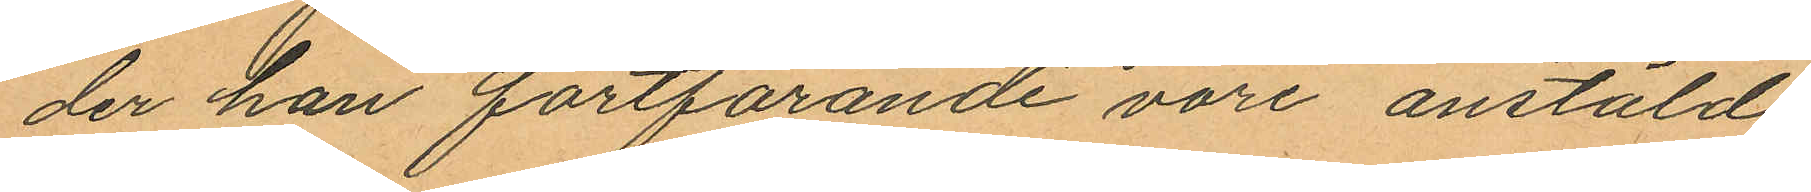der han fortfarande vore anstäld;
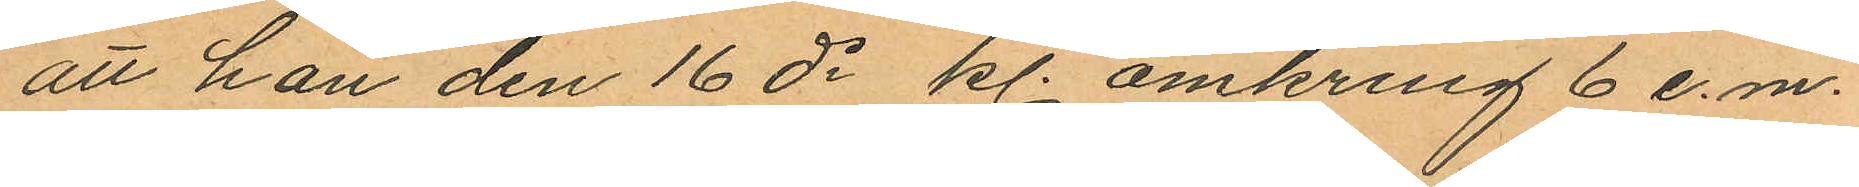att han den 16 ds kl. omkring 6 e.m.
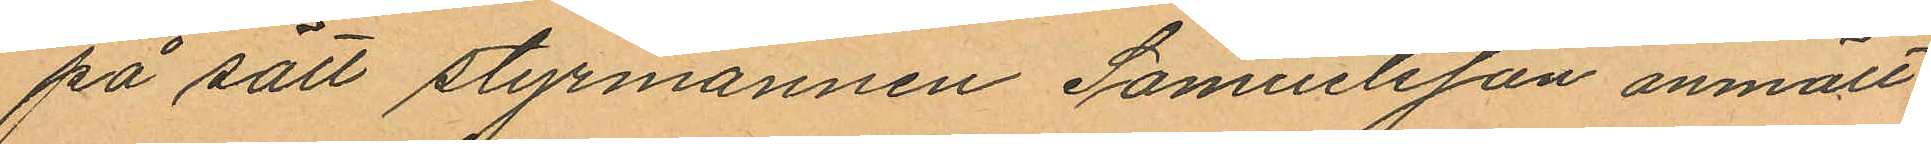på sätt styrmannen Samuelsson anmält
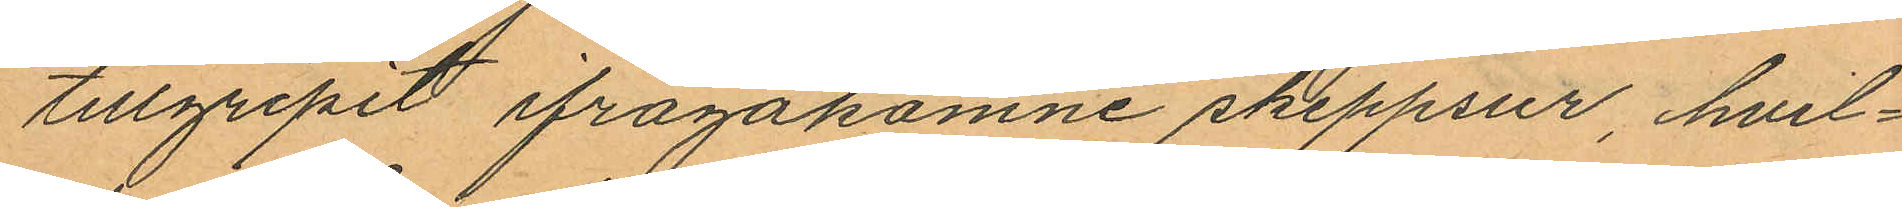tillgripit ifrågakomne skeppsur, hvil¬
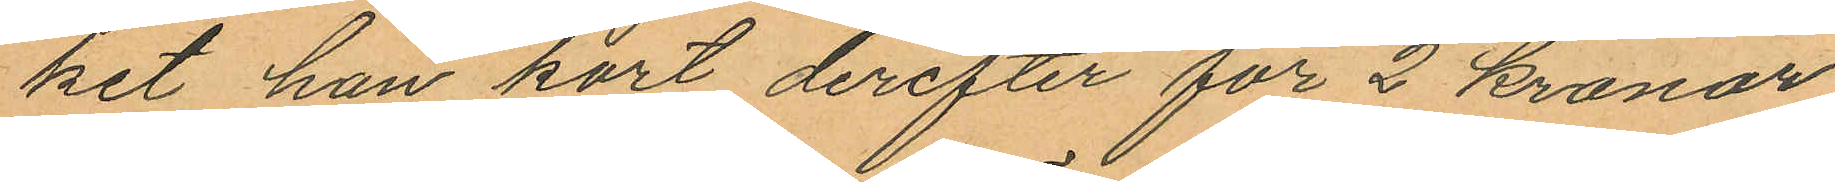ket han kort derefter för 2 kronor
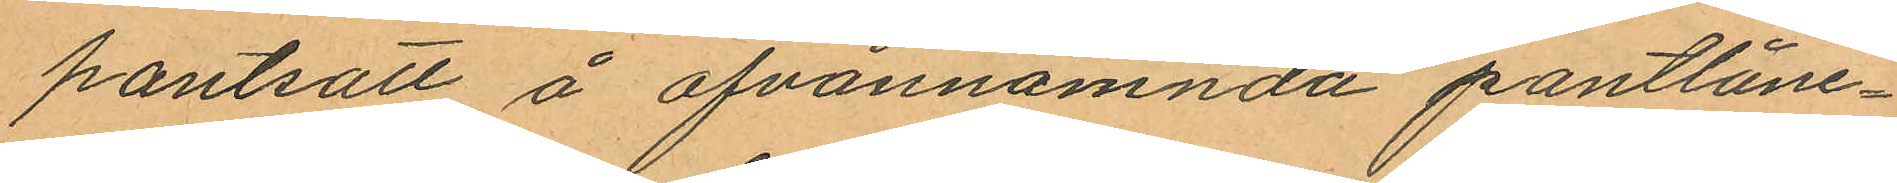pantsatt å ofvannämnda pantlåne¬
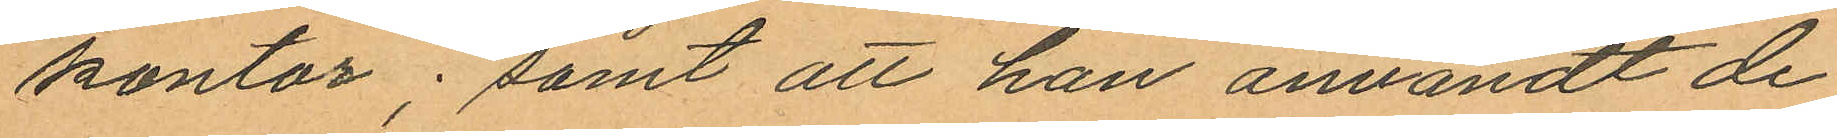kontor; samt att han användt de
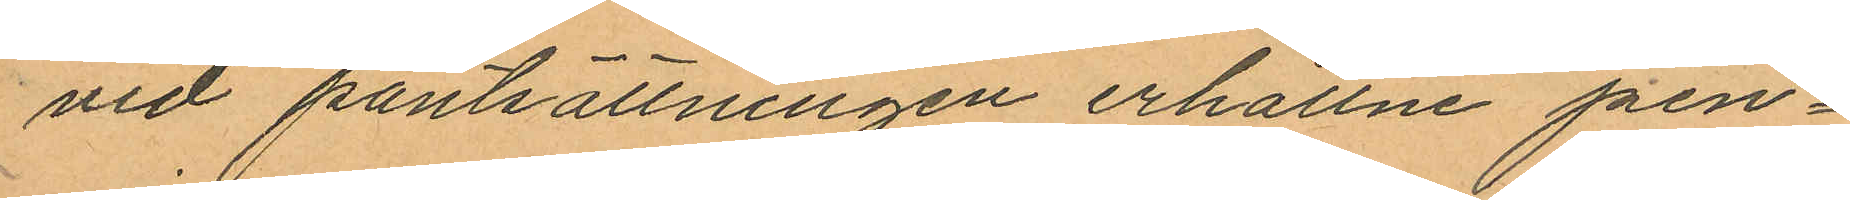vid pantsättningen erhållne pen¬
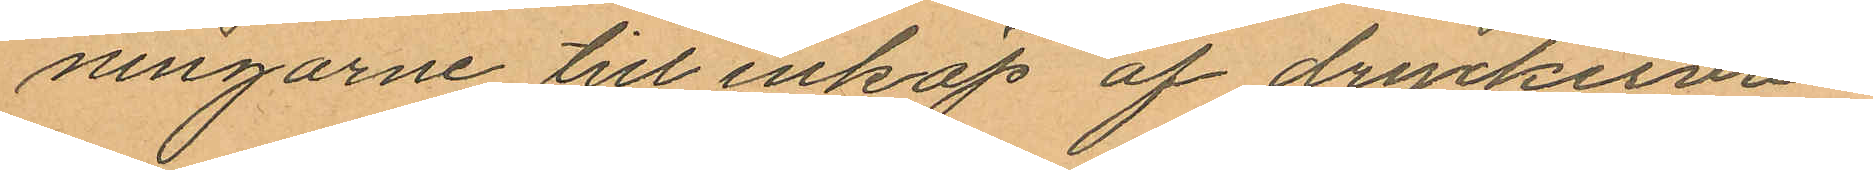ningarne till inköp af dryckerva¬
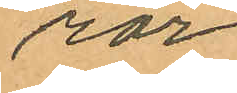ror.
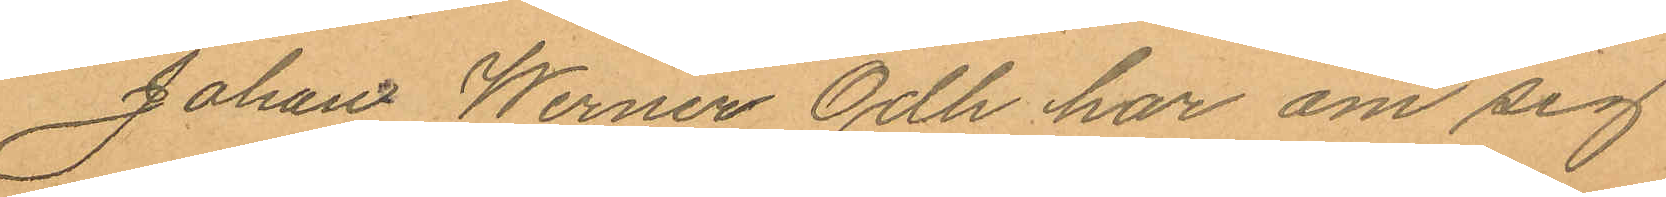Johan Werner Odh har om sig
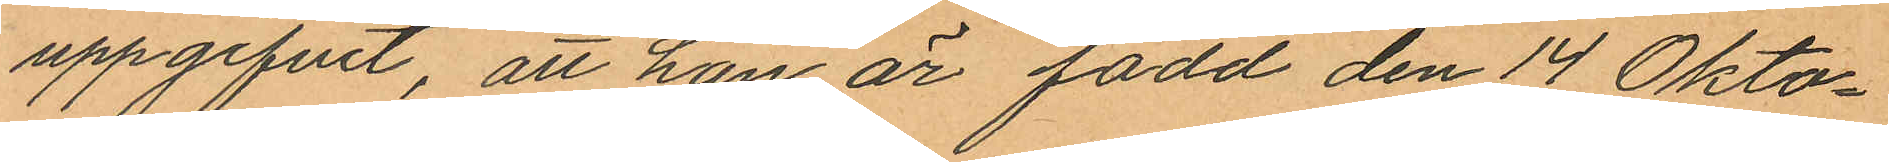uppgifvit, att han är född den 14 Okto¬
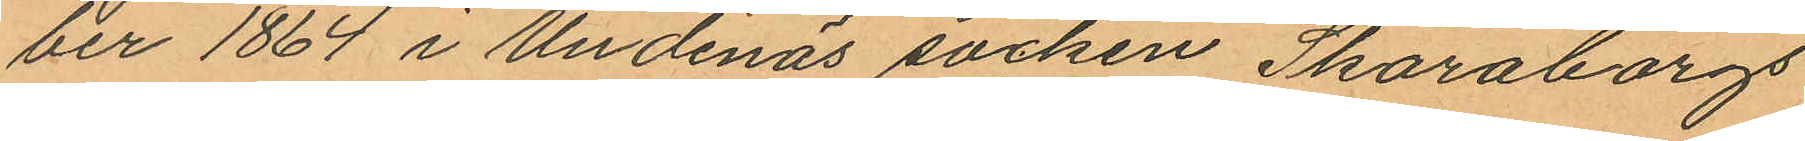ber 1864 i Undenäs socken Skaraborgs
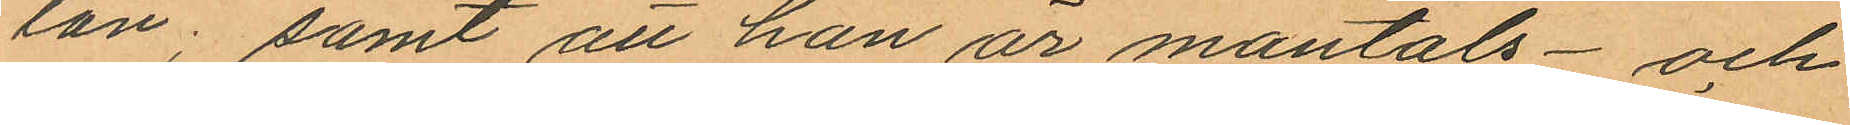län; samt att han är mantals- och
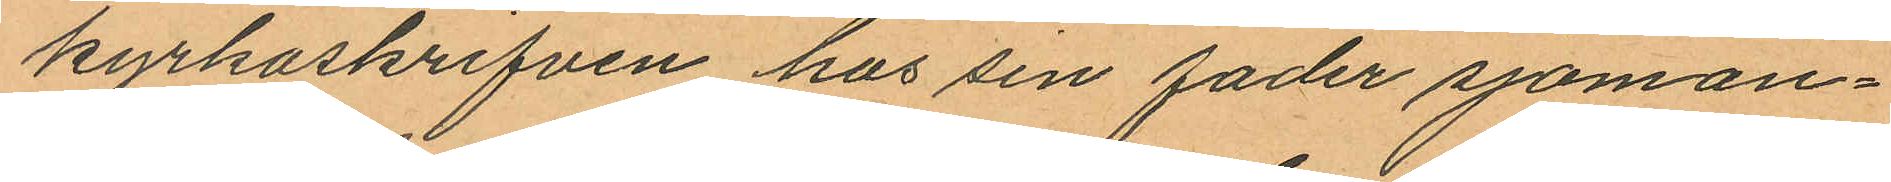kyrkoskrifven hos sin fader sjöman¬
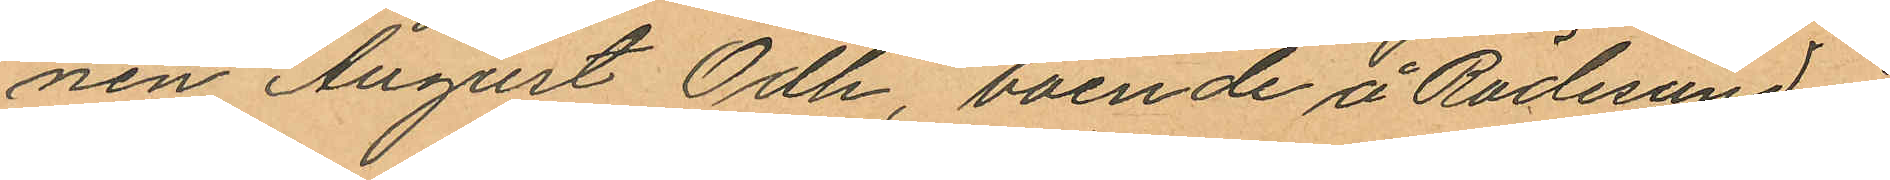nen August Odh, boende å Rödesund i
